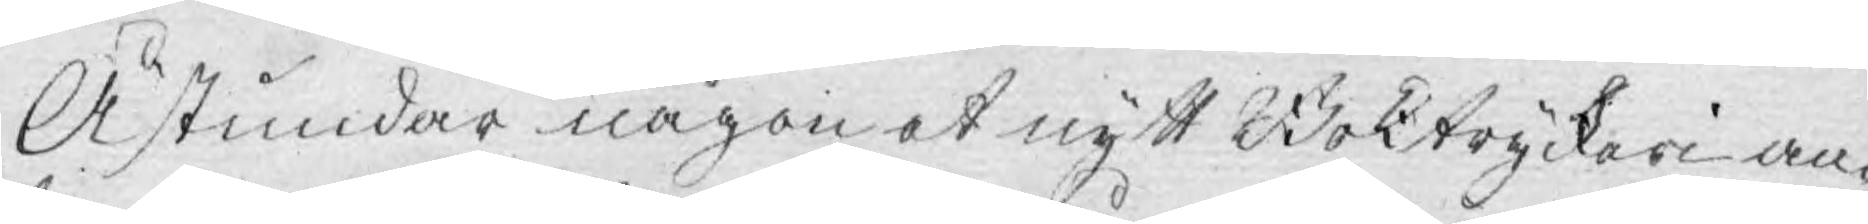Åstundar någon et nytt Boktryckeri an¬
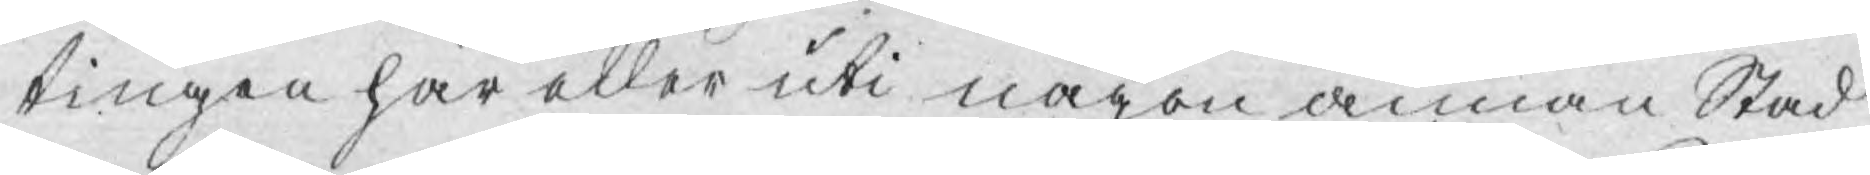tingen här eller uti någon annan Stad
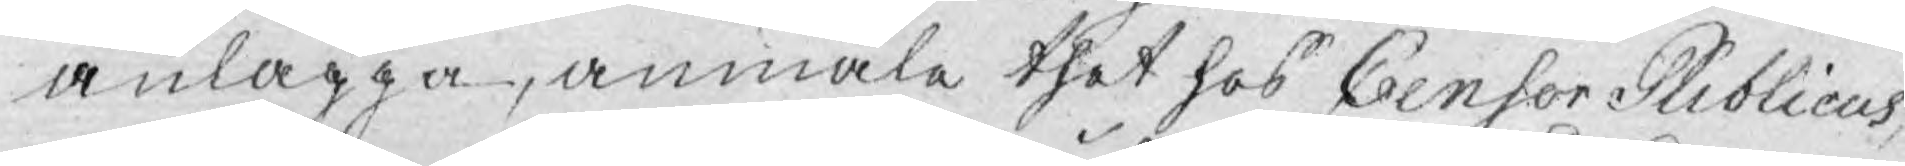anlagga, anmäle thet hos Censor Publicus,
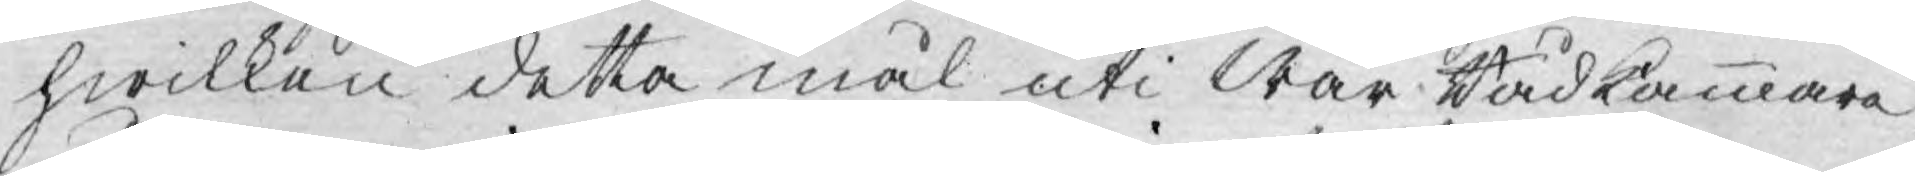hwilken detta mål uti Wår Rådkammare
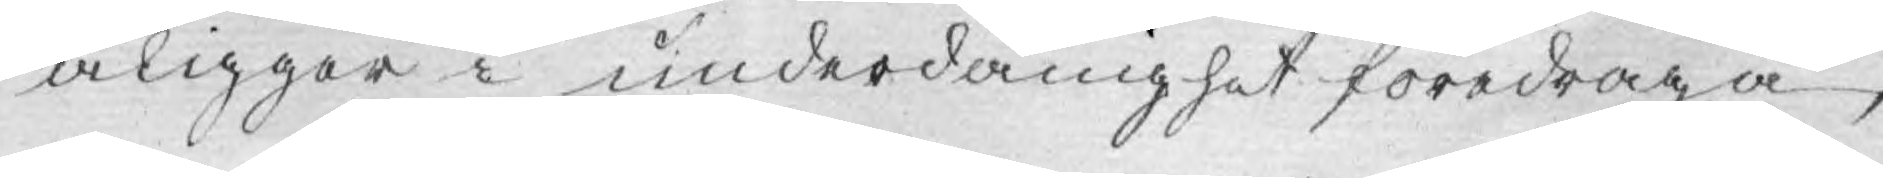åligger i underdånighet föredraga,
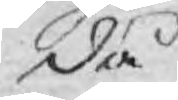då
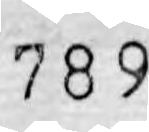789
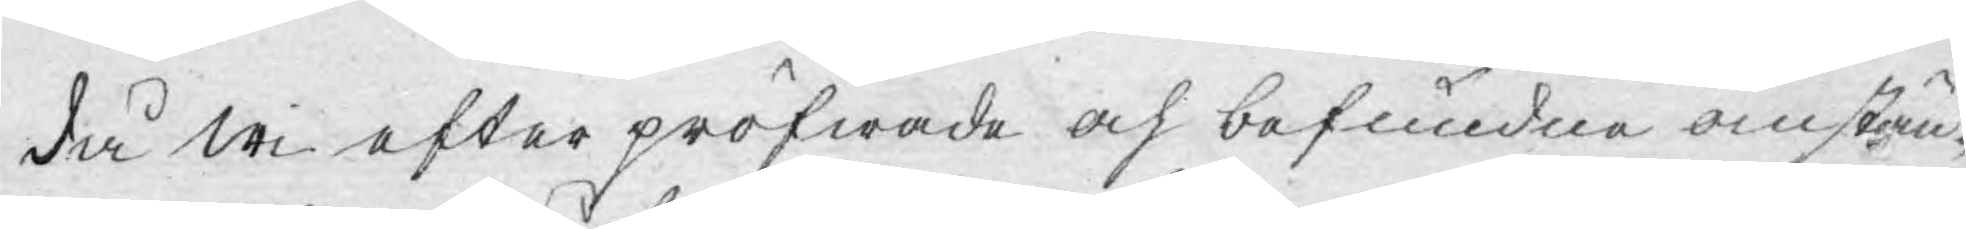då wi efter pröfwade och befundne omstän¬
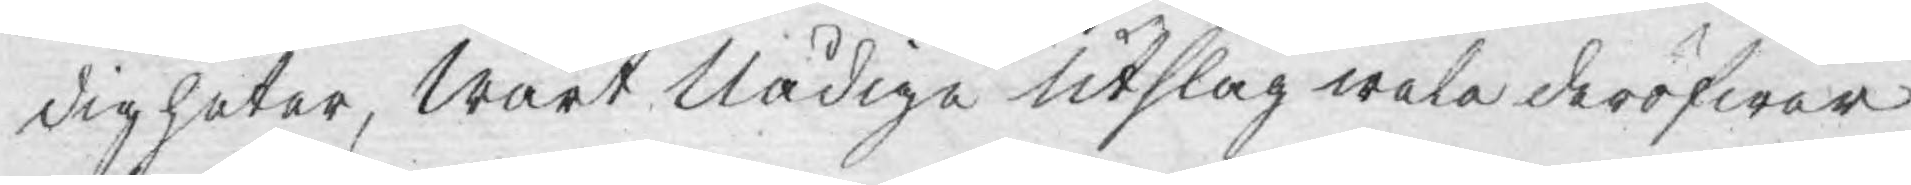digheter, Wårt Nådige utslag wele deröfwer
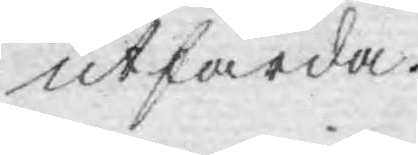utfärda.
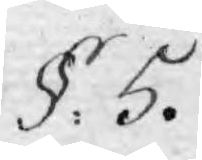§. 5.
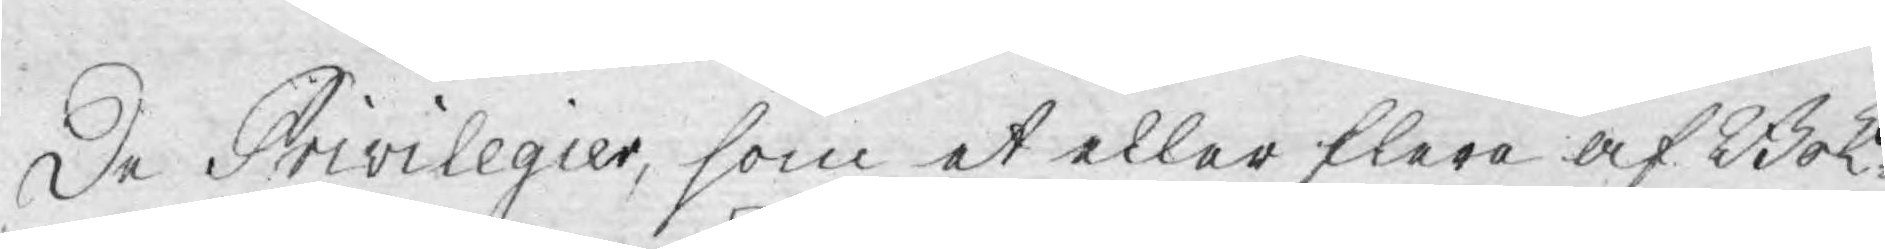De Privilegier, som et eller flere af Bok¬
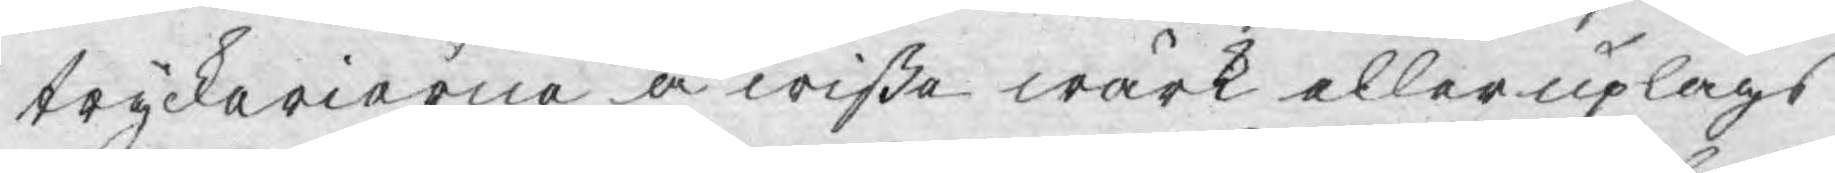tryckerierna å wisse wärk eller uplags
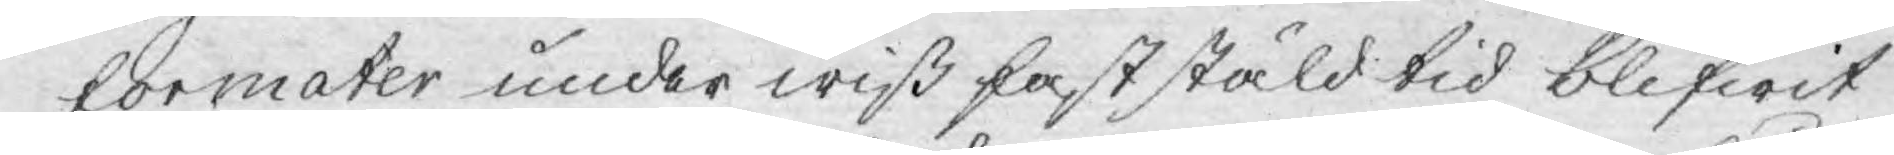formater under wiß faststäld tid blifwit
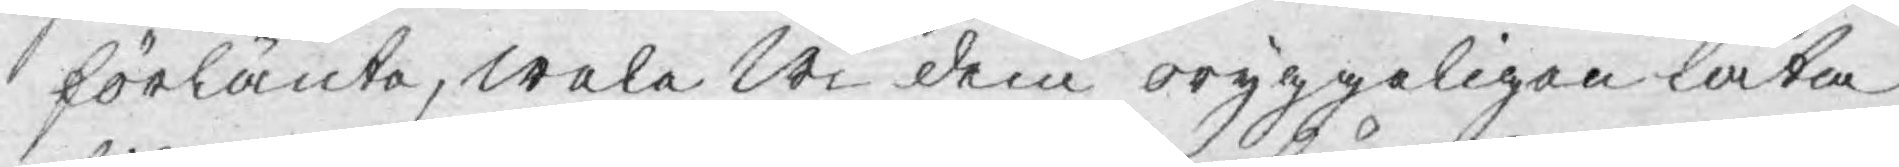förlänta, wele Wi dem oryggeligan låta
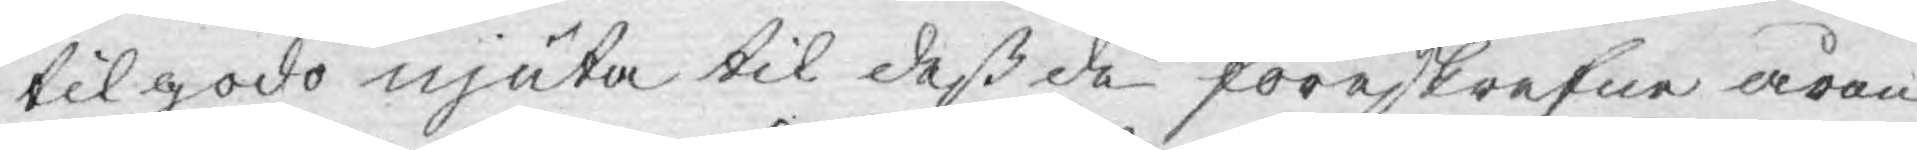tilgodo njuta til deß de föreskrefne åren
